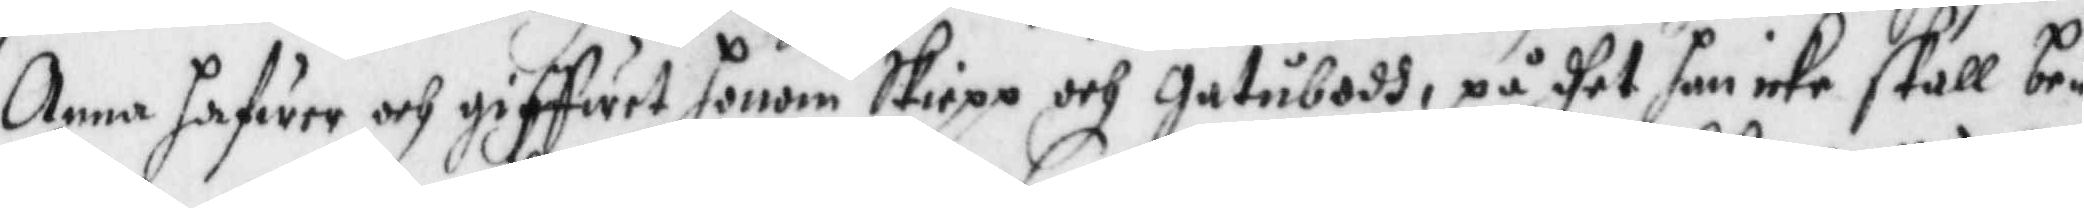Anna hafwer och giffwet honom skiepp och gatubodh, på dhet han icke skall be¬
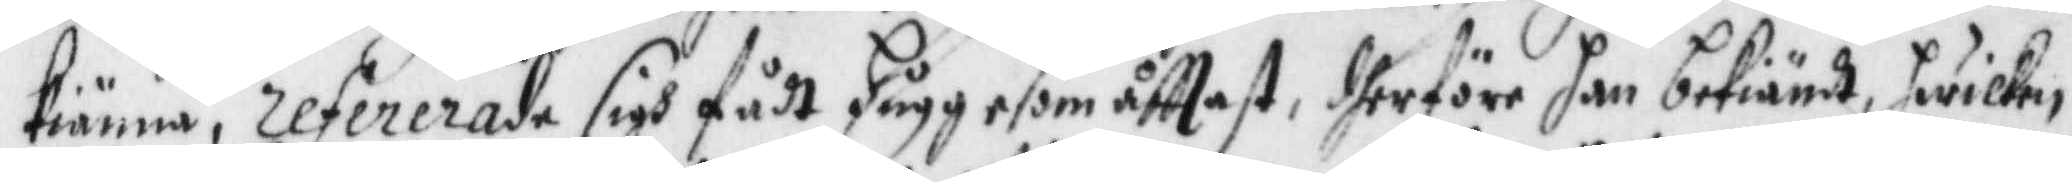kiöna, refererade sigh fådt hugg esom åfttast, dherföre han bekiände hwilke,
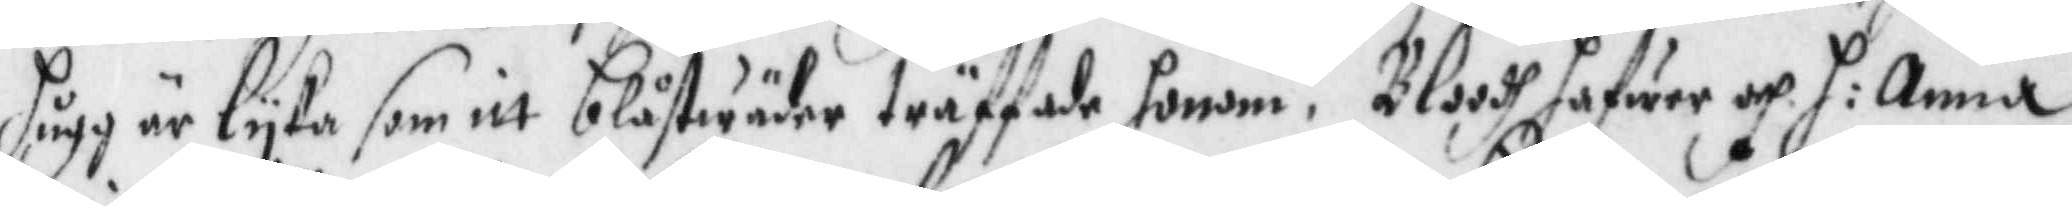hugg är lyka somitt blåstwäder träffade honom. Bloodh hafwer och h: Anna
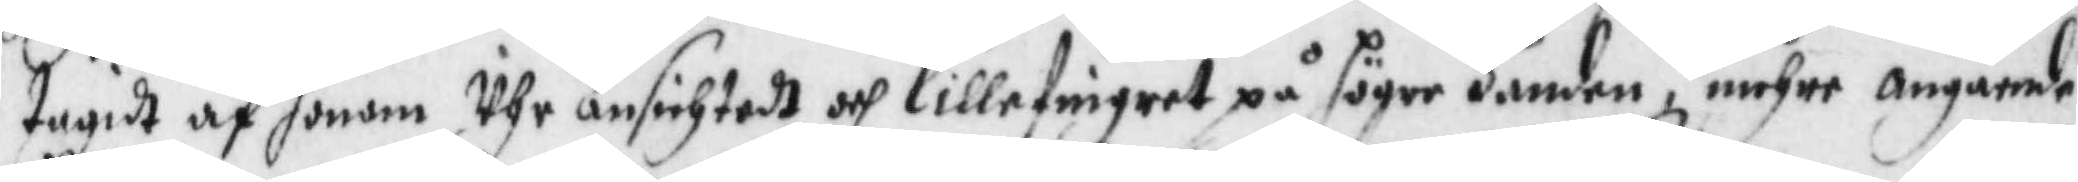tagidt af honom Uhr Ansichtedt och lillefingret på höger handen, mehre angående
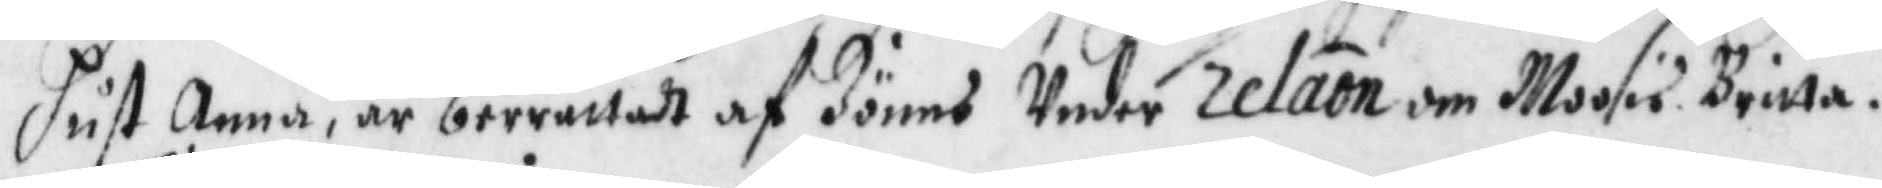hust Anna, är berättadt af Jönns Under relation om Moosu Britta.
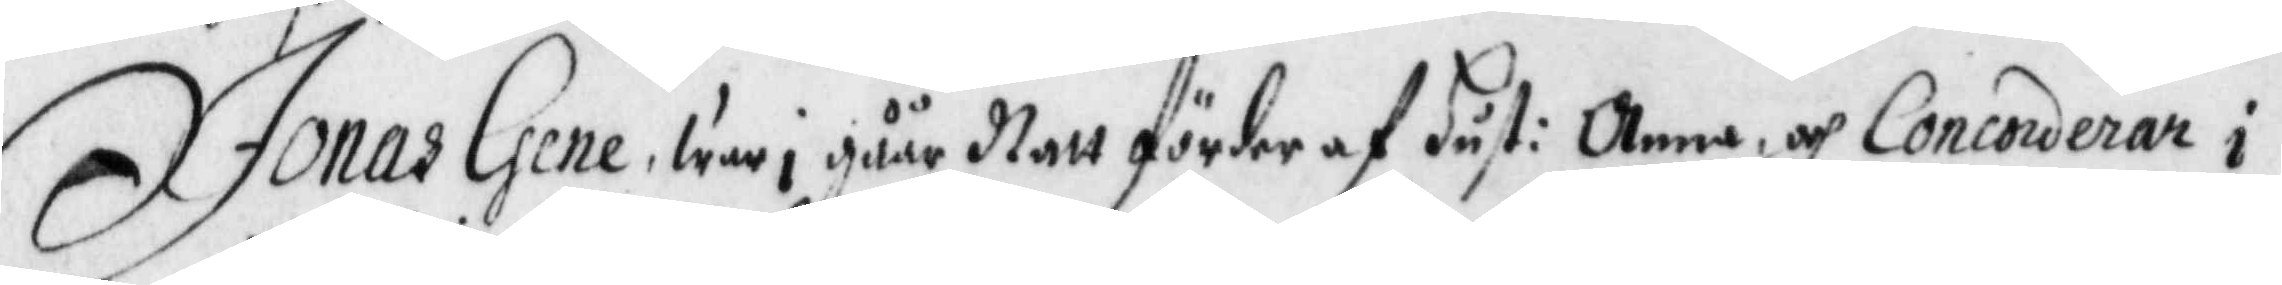Jonas Gebem war i gåår Natt förder af hust: Anna och Concorderar i
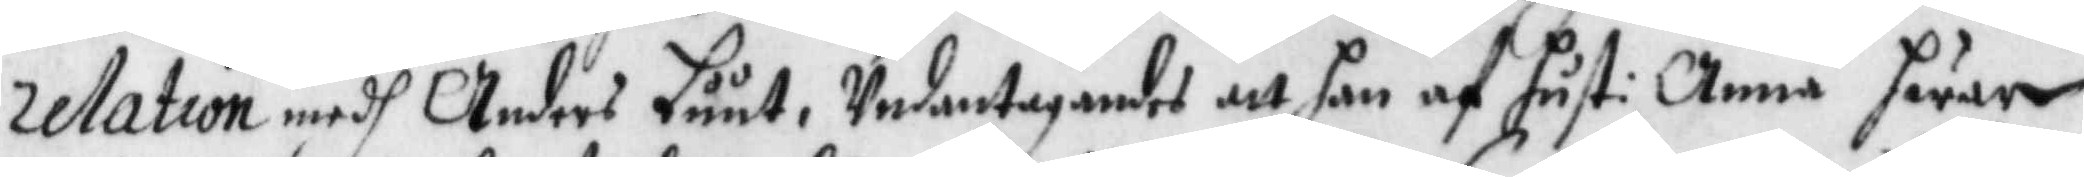relation medh Anders Luut, Undantagandes att han af hust: Anna hwar
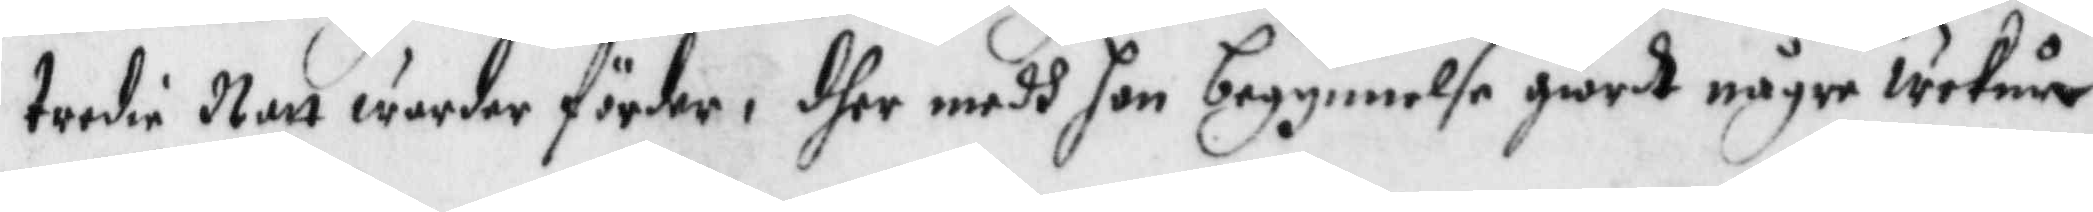tredie Natt warder förder, dher medh hon begynnelse giordt någre weckur
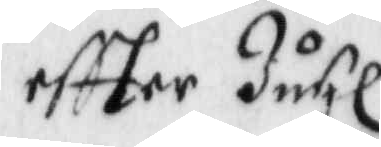eftter Juhl.
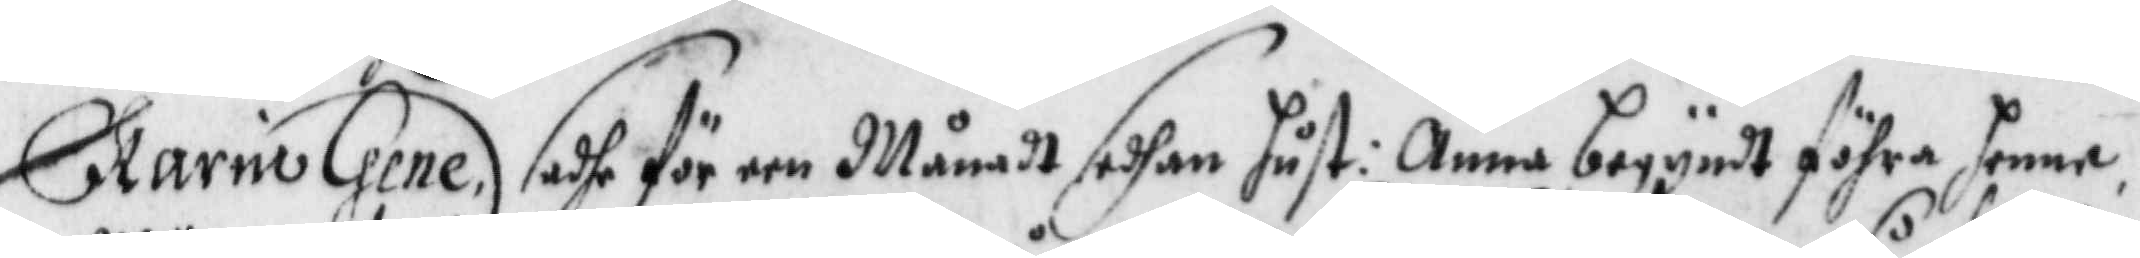Karin Gene, sade för een Månadt sedhan hust: Anna begyndt föhra henne
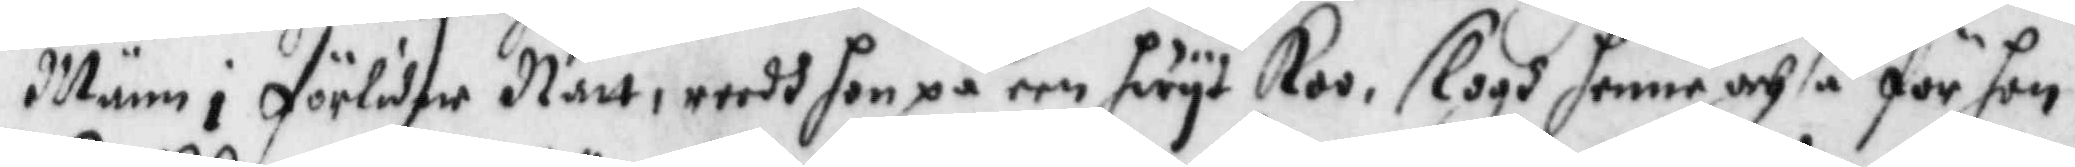Männ i förliden Natt, reedh hon på en hwyt Koo, slogh henne ochså för hon
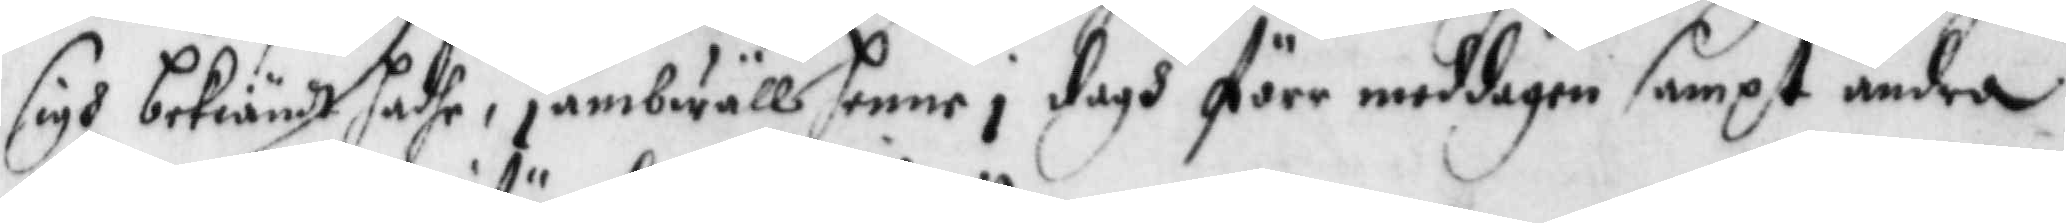sigh bekiändt hadhe, jämbwäll henne i dagh före middagen sampt andra
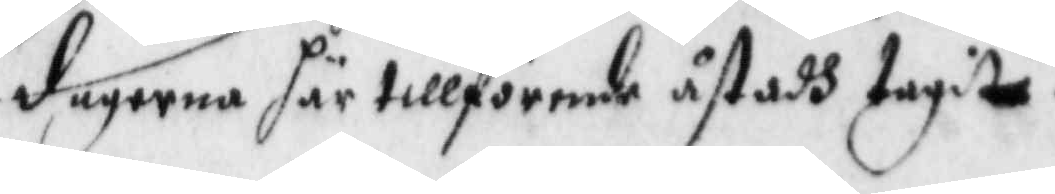dagerna här tillförende åstadh tagit.
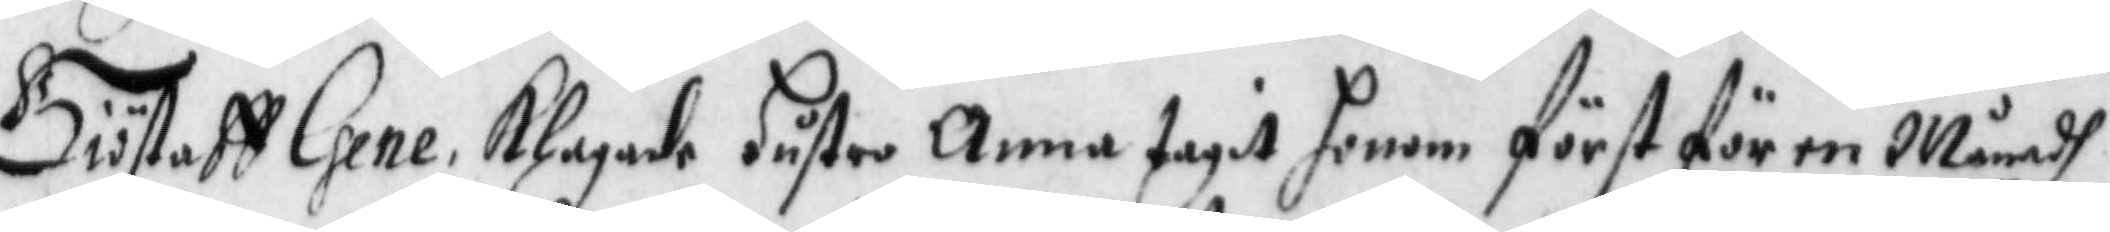Giöstaff Gene, Klagade hustro Anna tagit honom först för en Månadh
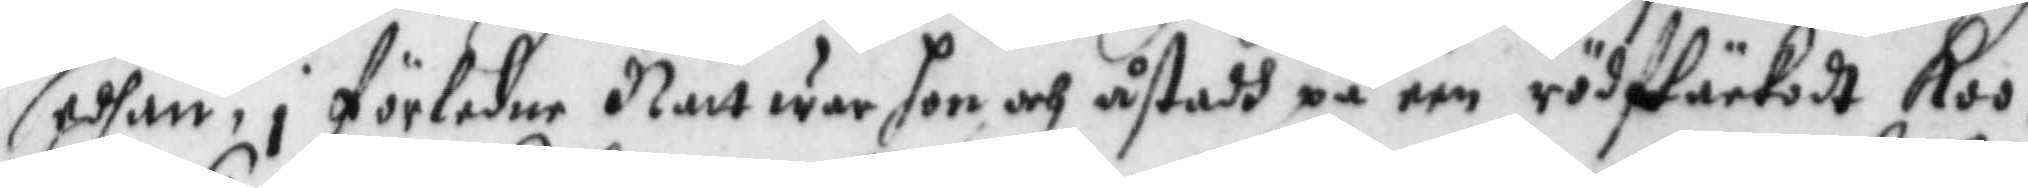sedhan, i förledne Natt war hon och åstadh på een rödfläckedt Koo,
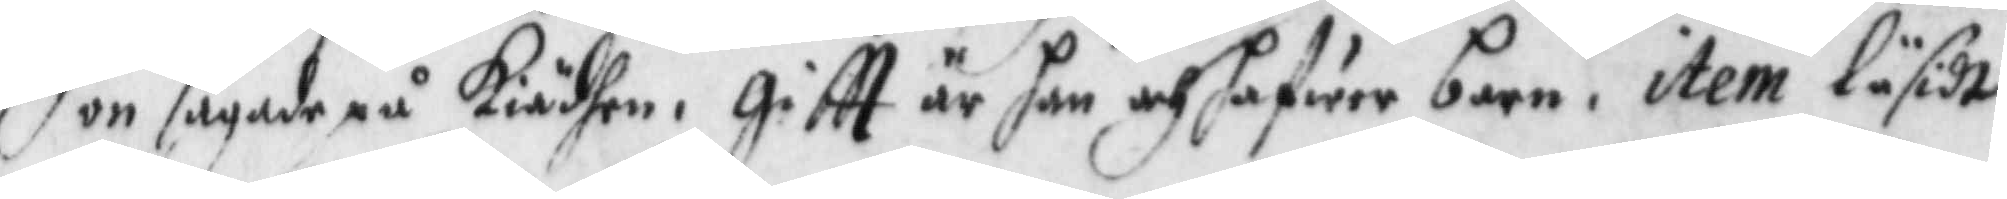hon sågade på Kiädhen, giftt är hon och hafwer barn, item läsidt
